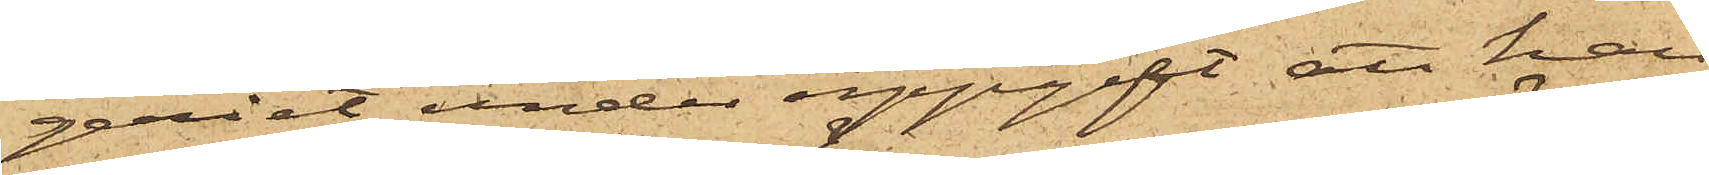geriet under uppgift, att han
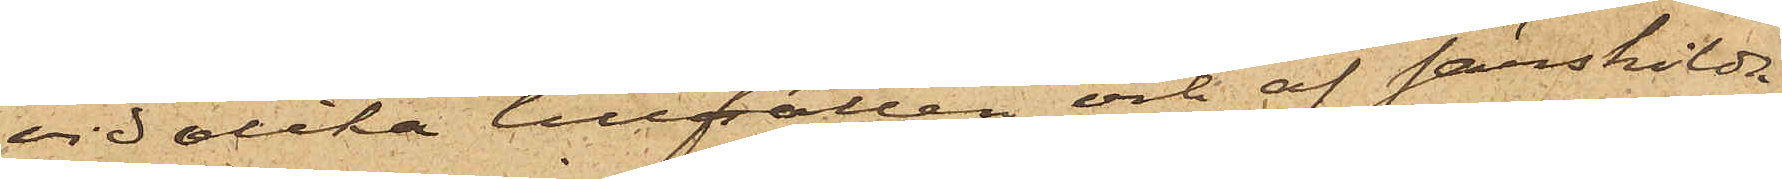vid olika tillfällen och af särskilda
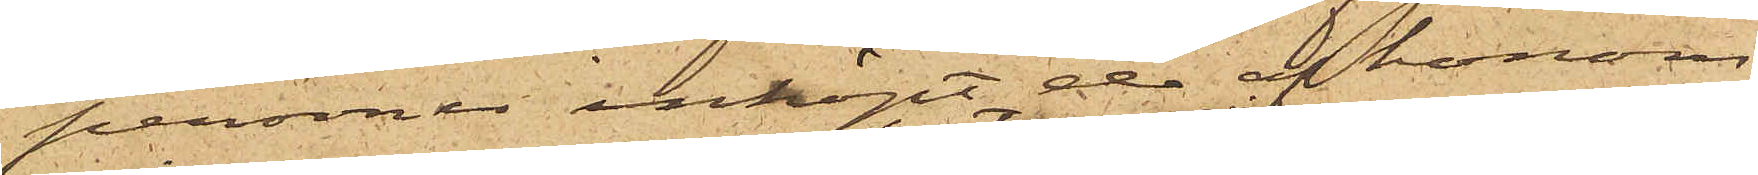personer inköpt de af honom
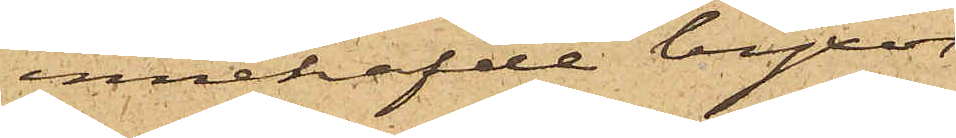innehafde byxor,
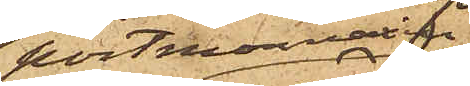portmonnain,
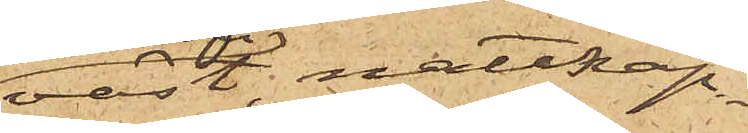väst, nattkap¬
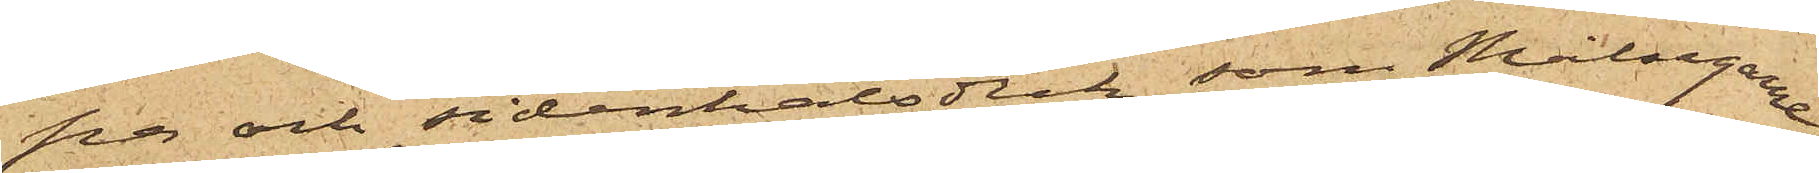pa och sidenhalsduk, som Målsegarne
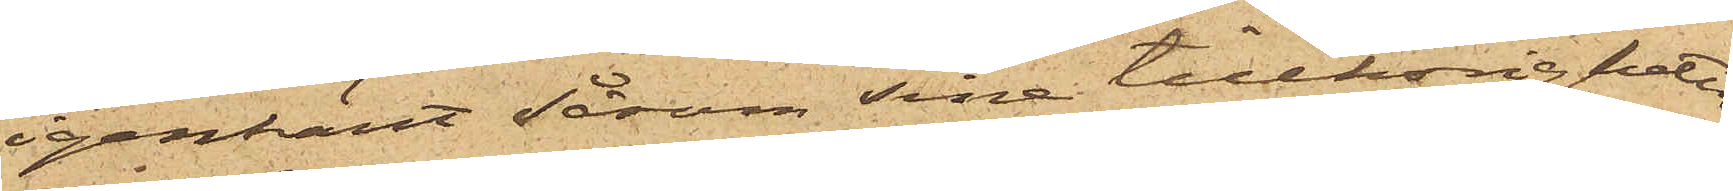igenkänt såsom sina tillhörigheter;
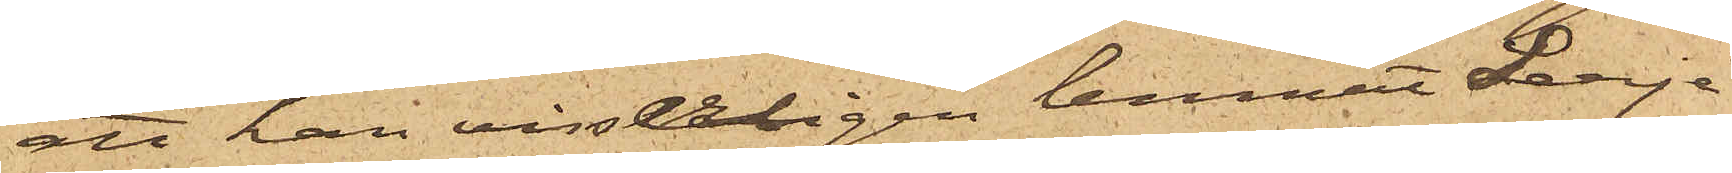att han visserligen lemnat Lerje
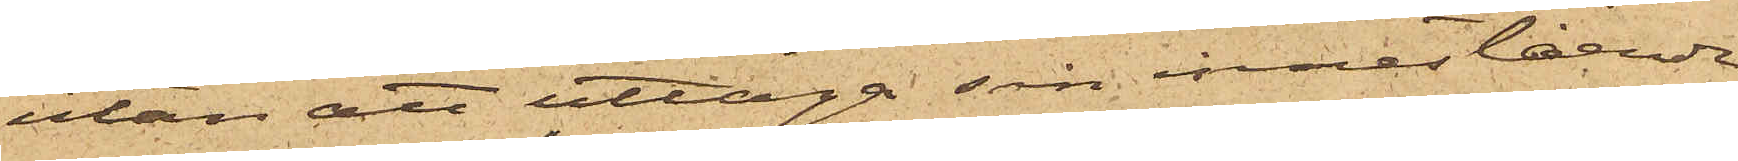utan att uttaga sin innestående
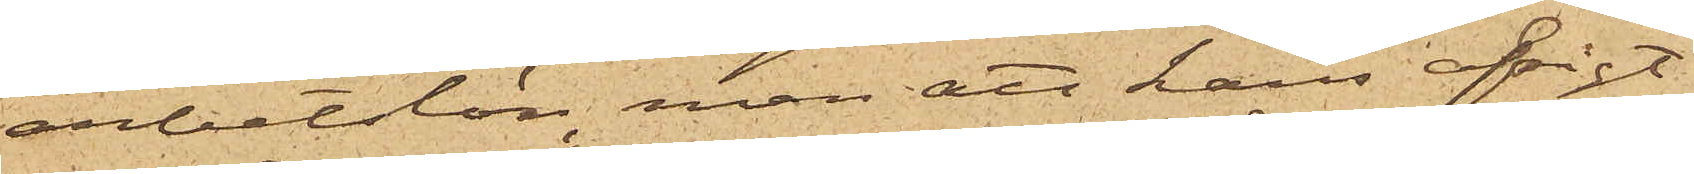arbetslön, men att hans afsigt
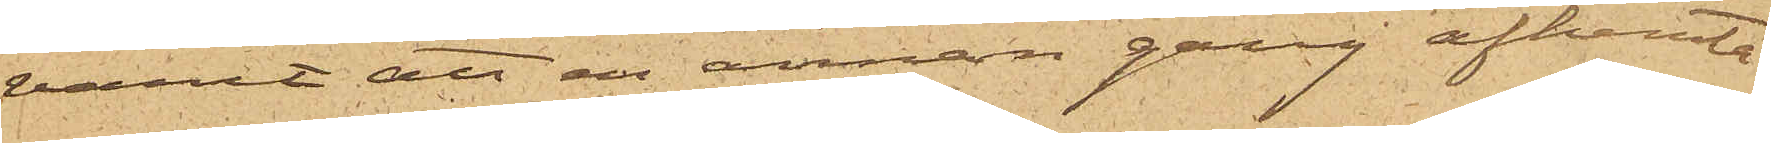varit att en annan gång afhemta
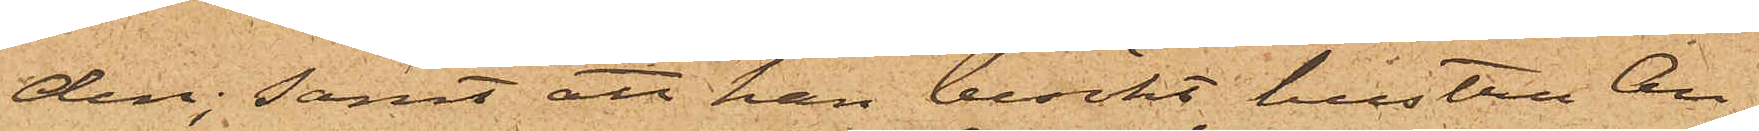den; samt att han besökt hustru An¬
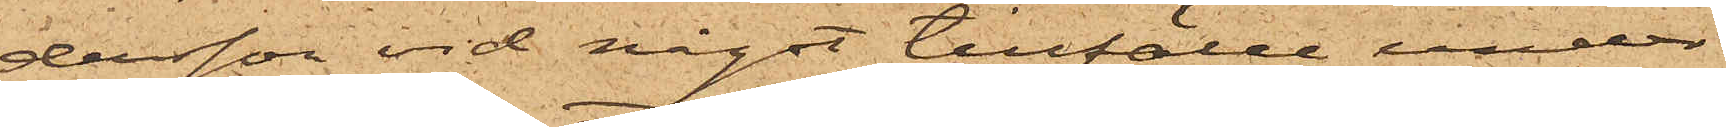dersson vid något tillfälle under
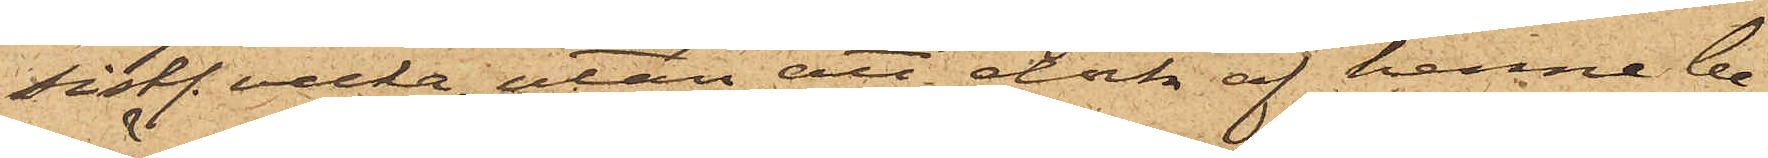sistl. vecka, utan att dock af henne be¬
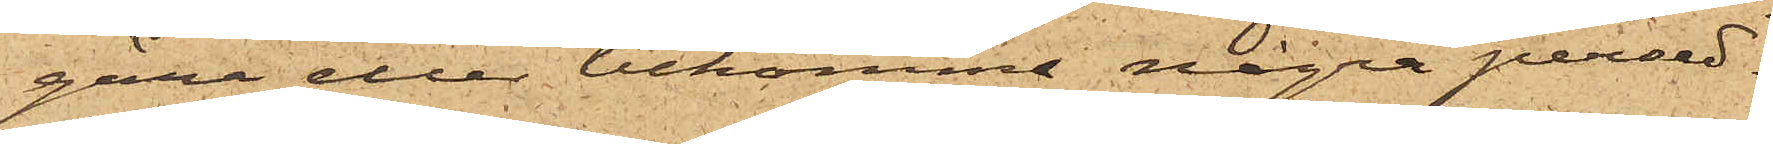gära eller bekomma några persed¬
